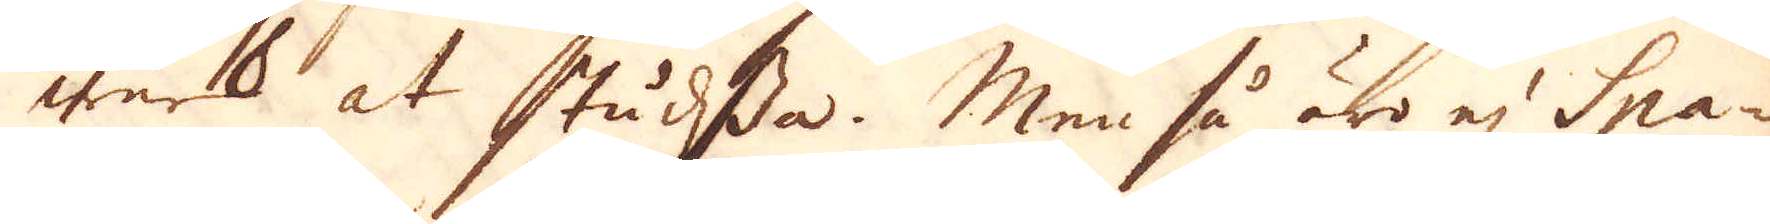werk at studssa. Men så äro ej Spa-
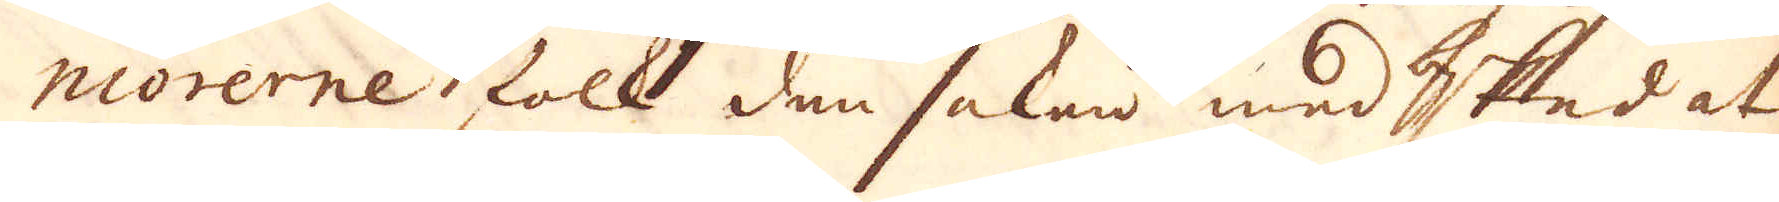niorerne folk den saken med besked at
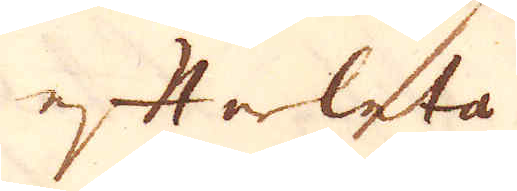efterleta.
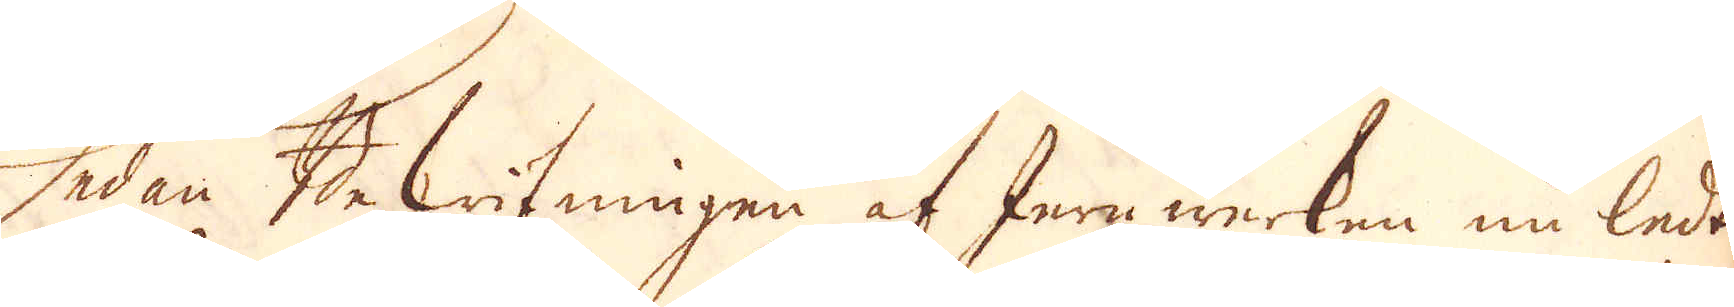Sedan Bekrifningen af Jernwerken nu ledt
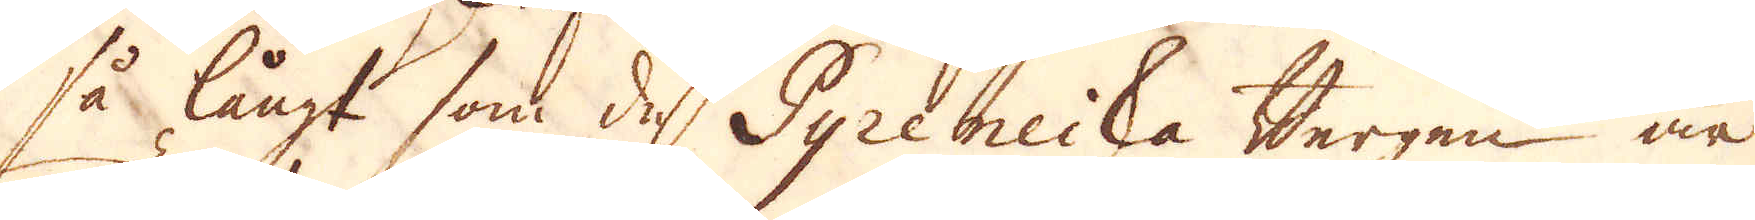så långt som de Pyreneiska Bergen är
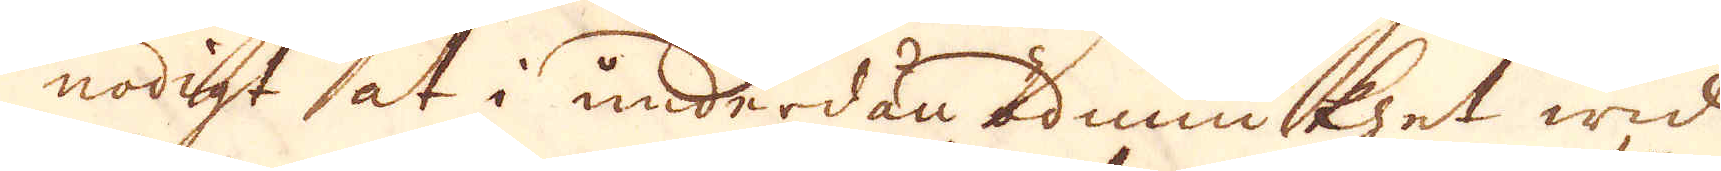nödigt at i underdån ödmiukhet wid
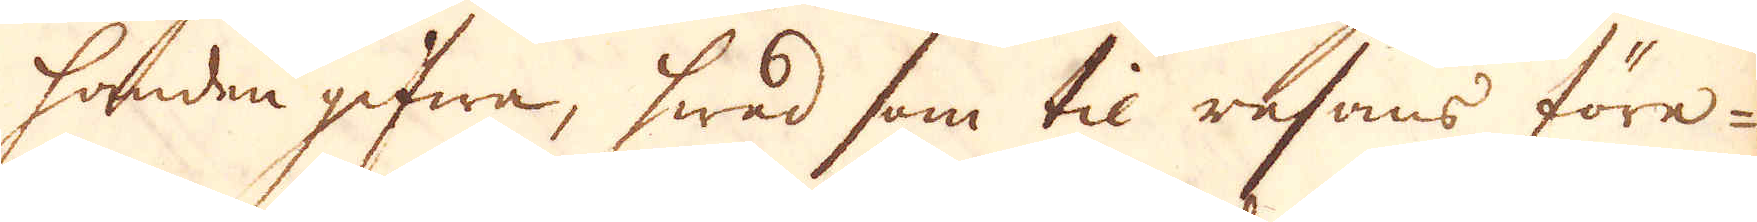handen gifwa, hwad som til resans före-
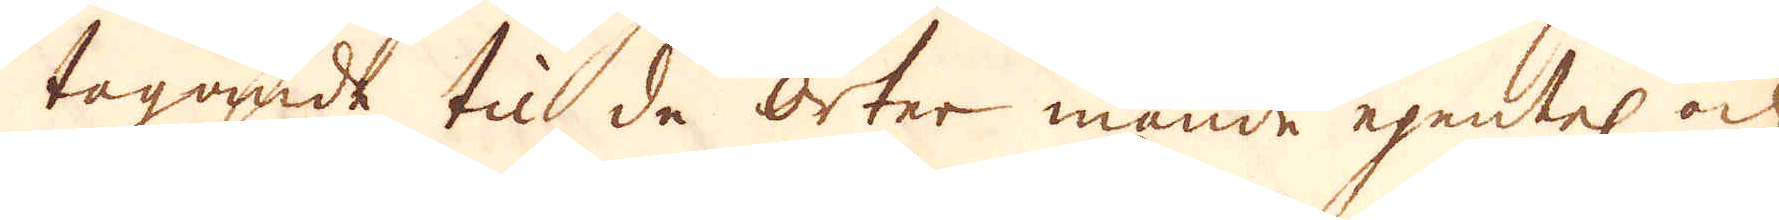tagande til de orter månde egentel och
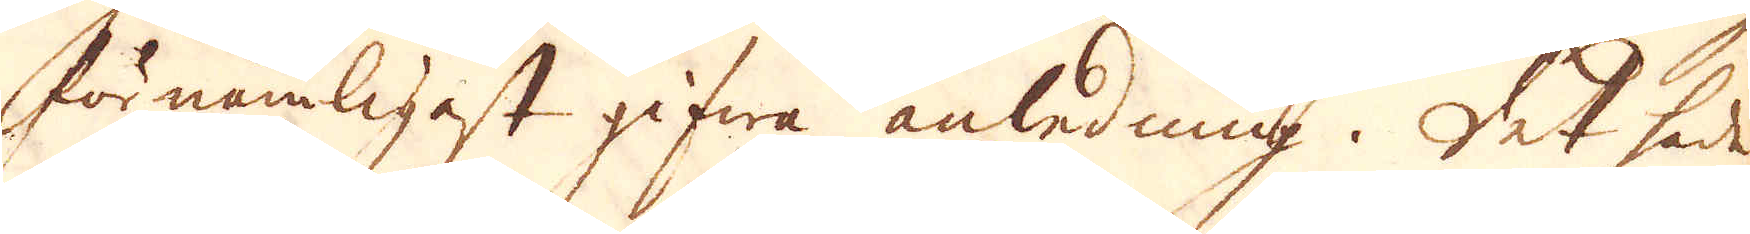förnämligast gifwa anledning. Det hade
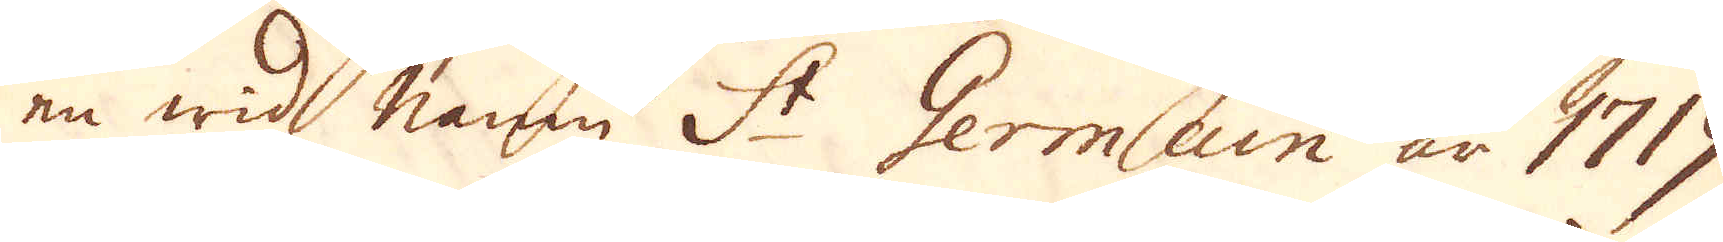en wid namn S:t Germain år 1719
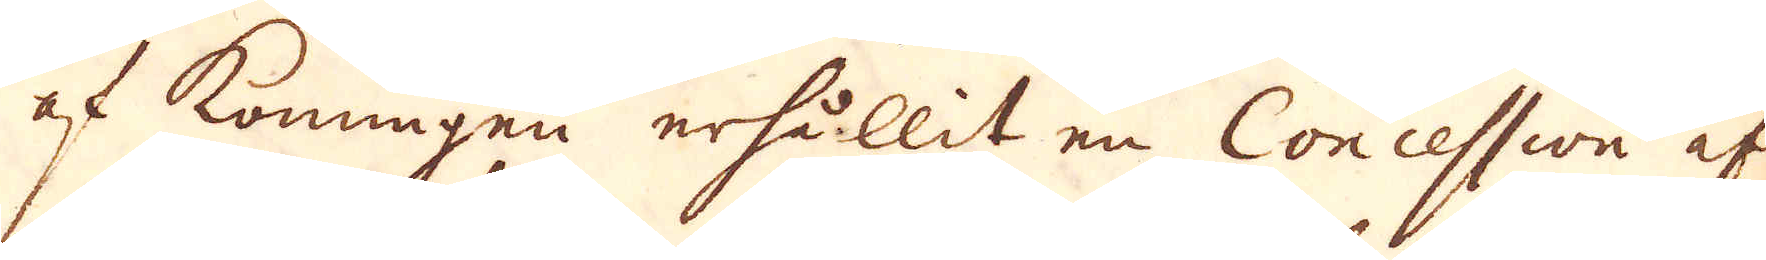af Konungen erhållit en Concession af
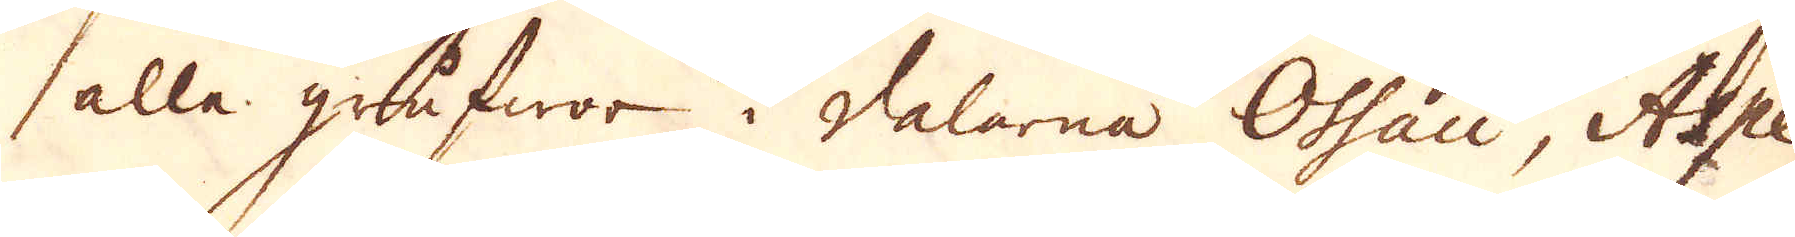alle grufwor i dalarna Oshau, Aspe
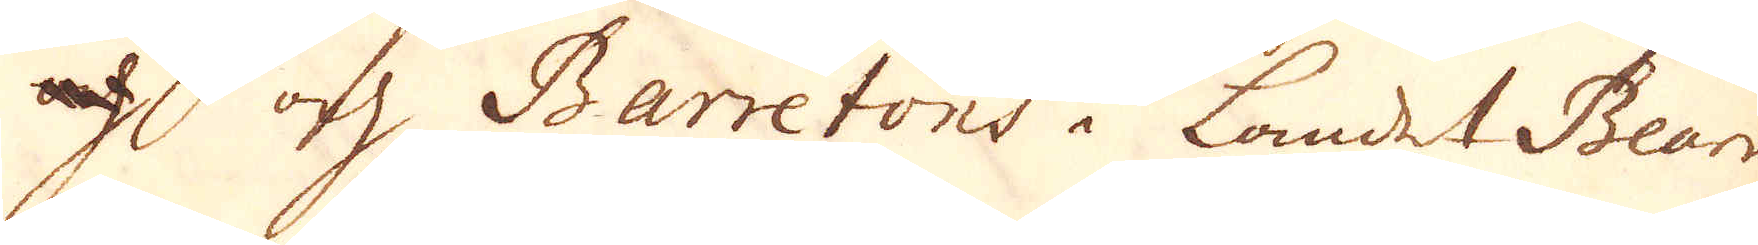af och Barretons i landet Bearn,
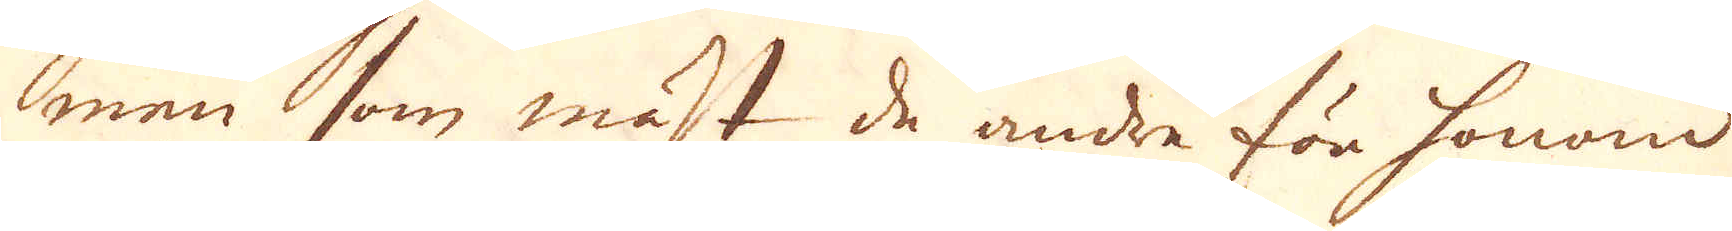men som mäst de andre för honom
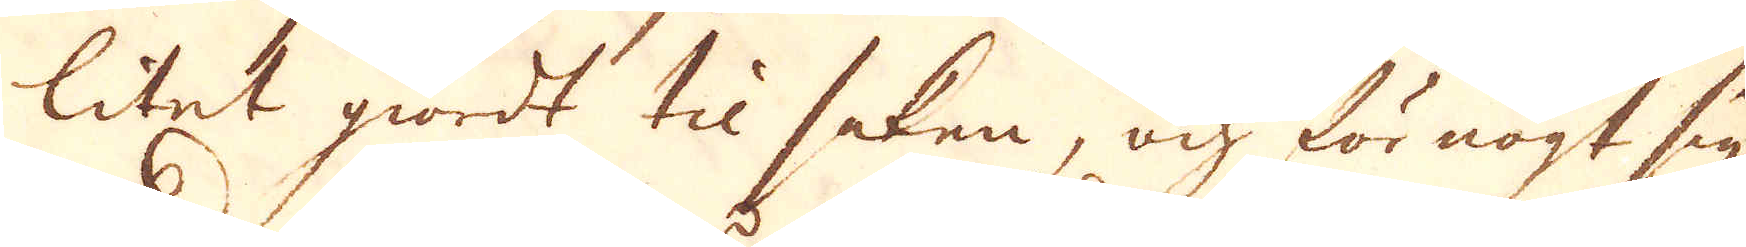litet giordt til saken, och för nögt sig
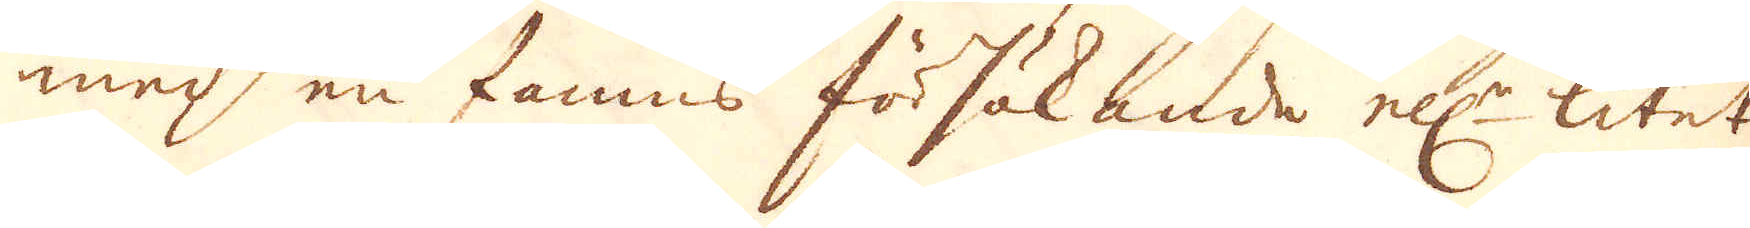med en famns försökande ell:r litet
